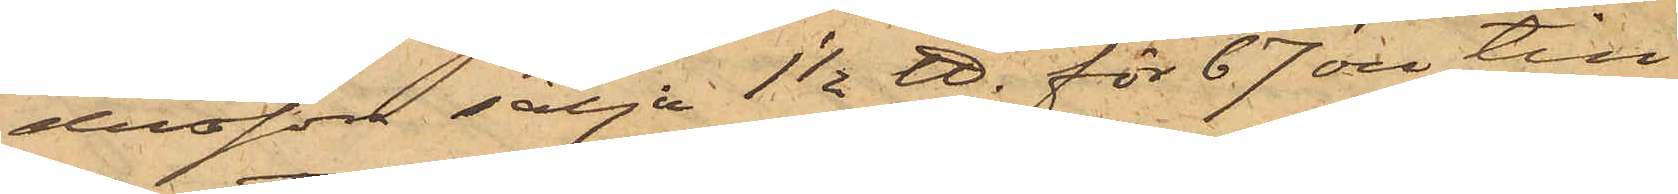dersson sälja 1 1/2 ℔ för 67 öre till
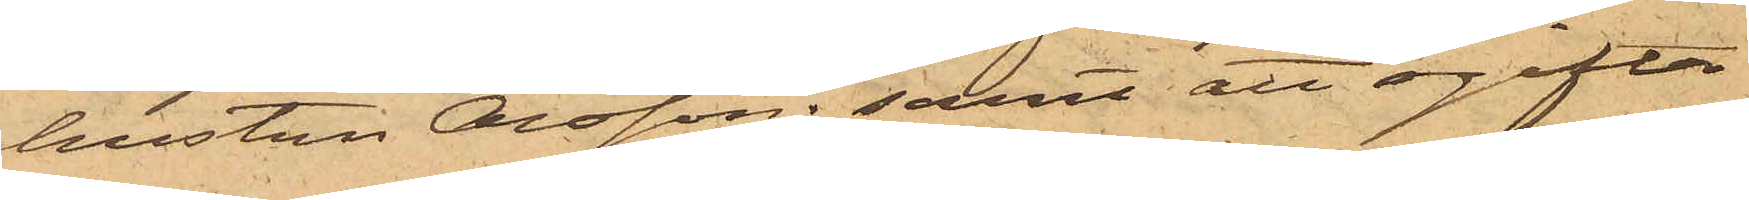hustru Olsson; samt att ogifta
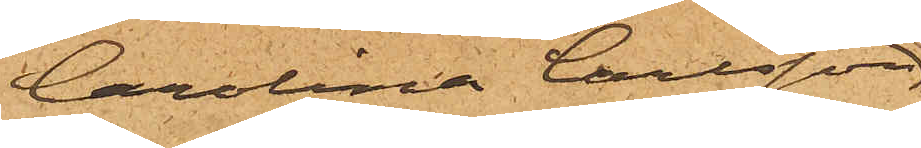Carolina Carlsson,
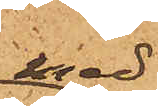med
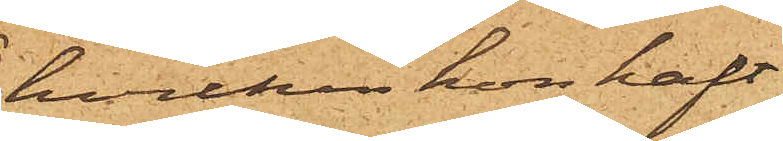hvilken hon haft
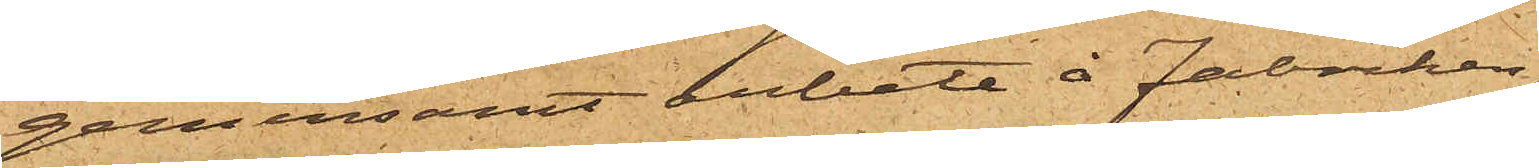gemensamt arbete å Fabriken,
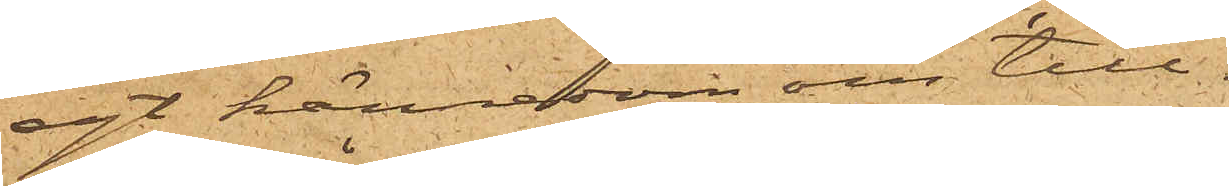egt kännedom om till¬
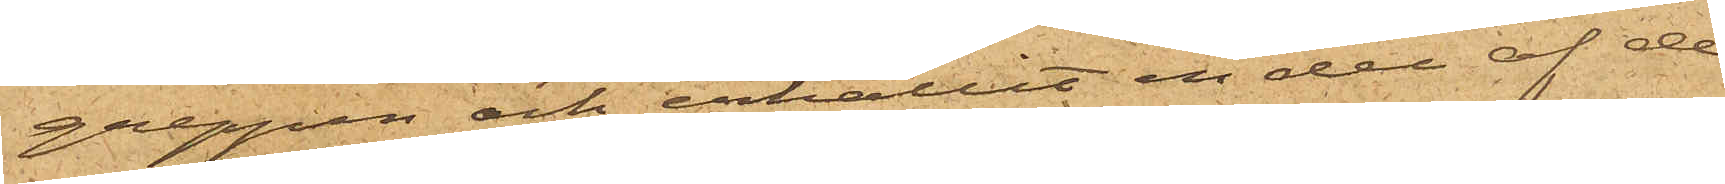greppen och erhållit en del af de
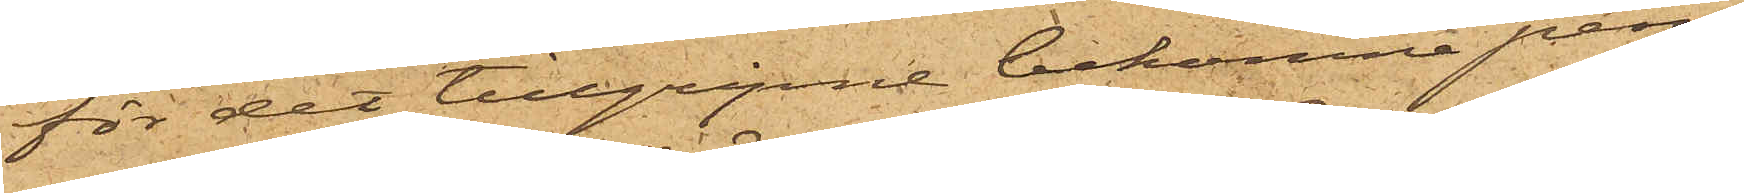för det tillgripne bekomne pen¬
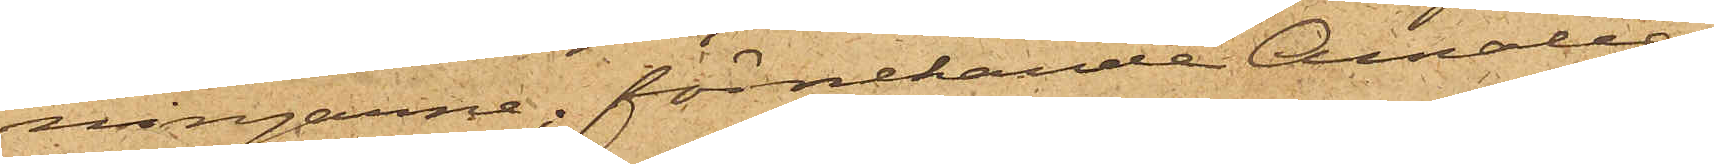ningarne, förnekande Amalia
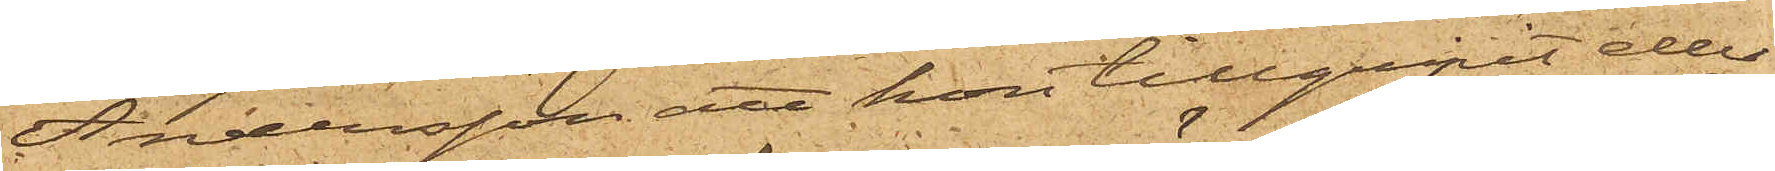Andersson att hon tillgripit eller
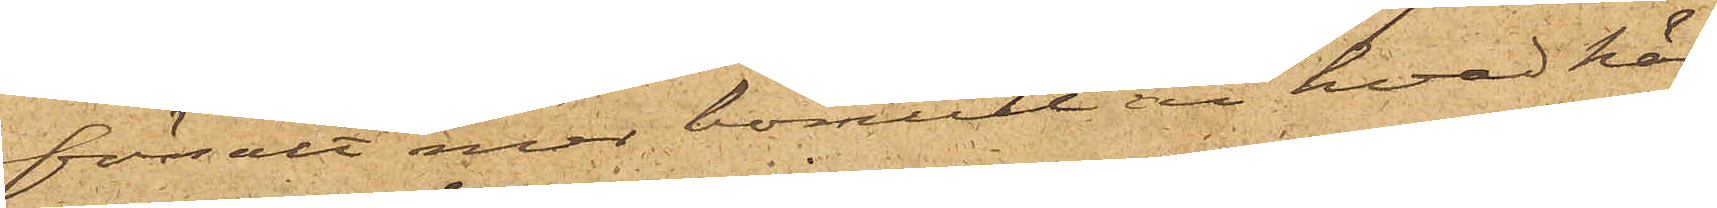försålt mer bomull än hvad här¬
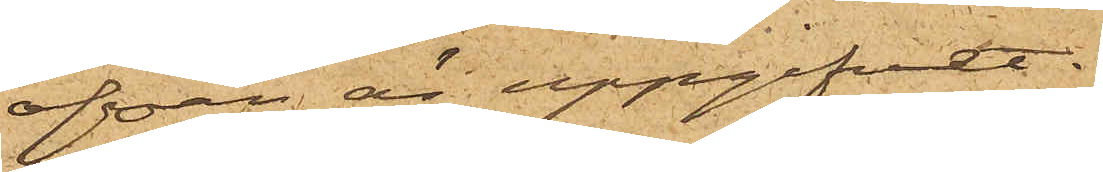ofvan är uppgifvet.
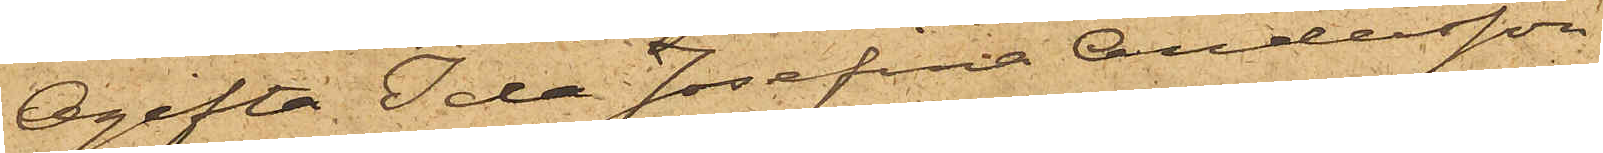Ogifta Ida Josefina Andersson
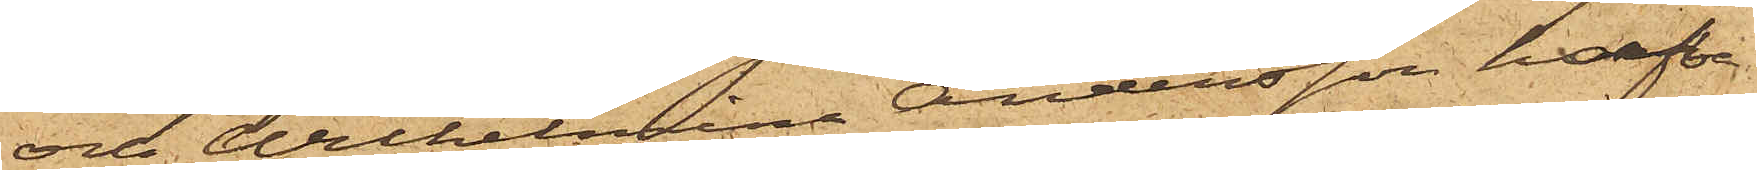och Wilhelmina Andersson, hafva
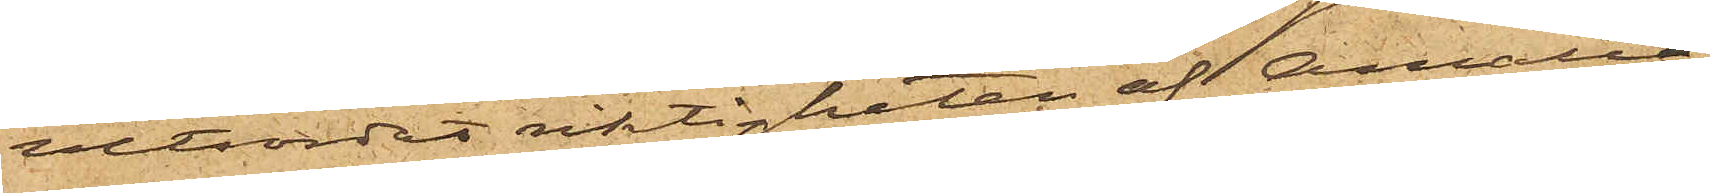vitsordat riktigheten af Amalia
